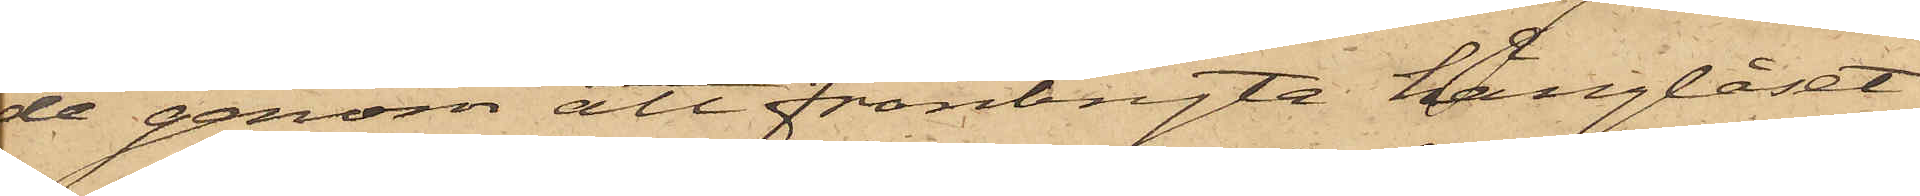de genom att frånbryta hänglåset
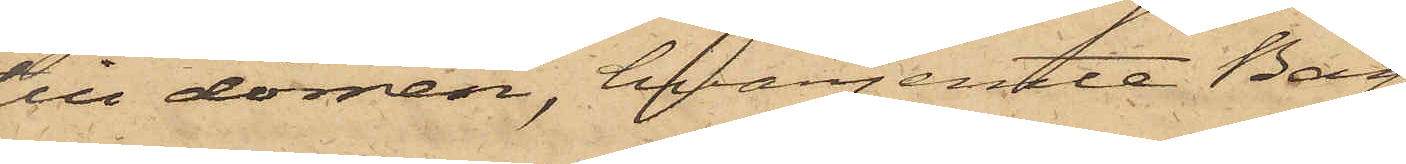till dörren, hvarjemte Bag¬
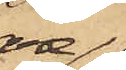are¬
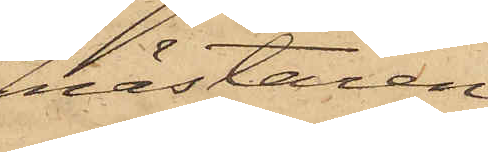mästaren
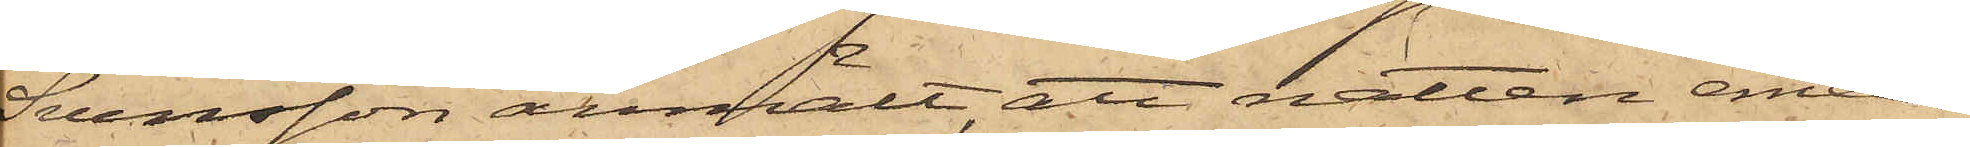Svensson anmält, att natten emel¬
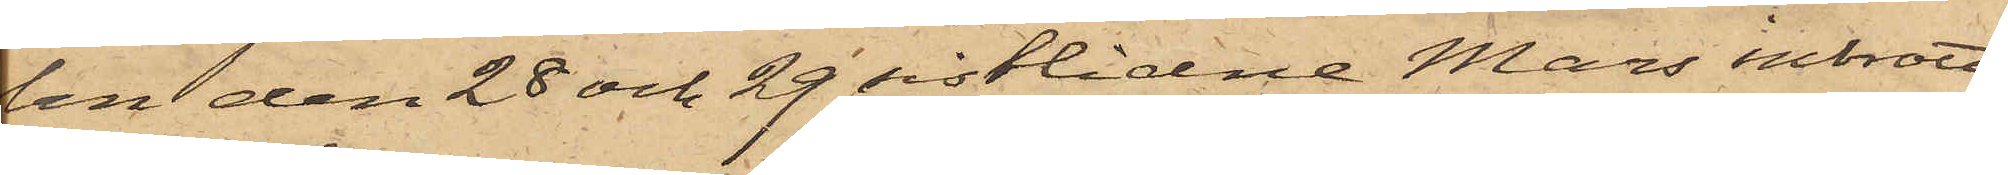lan den 28 och 29 sistlidne Mars inbrott,
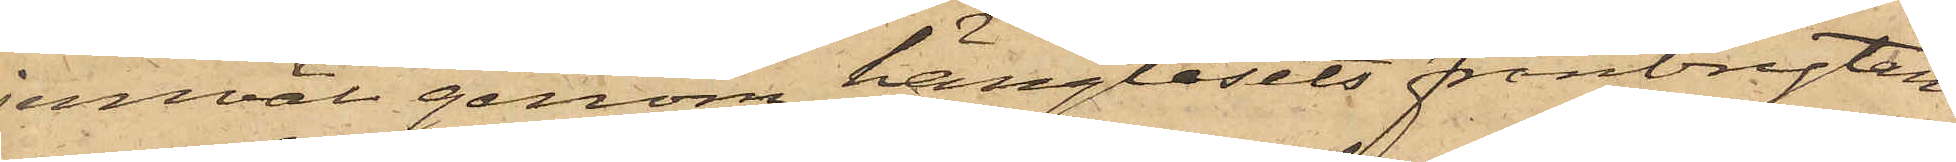jemväl genom hänglåsets frånbrytan¬
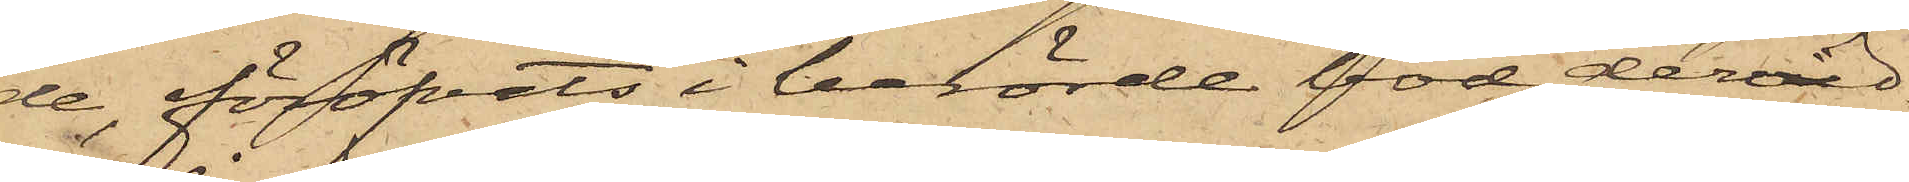de, föröfvats i berörde bod, dervid
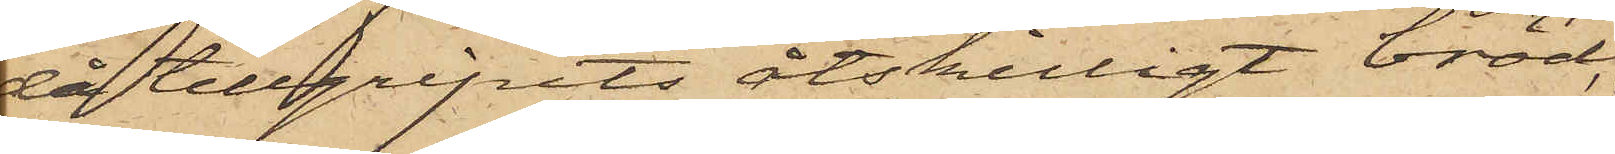då tillgripits åtskilligt bröd,
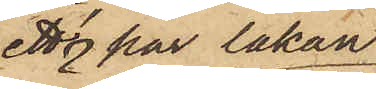ett par lakan
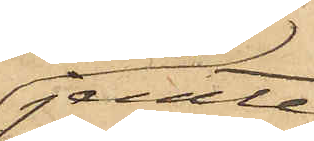jemte
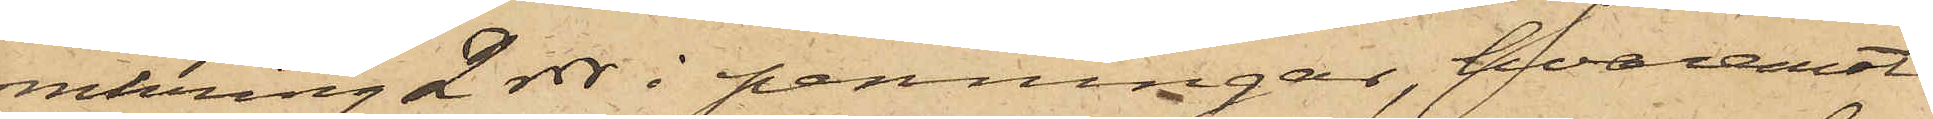omkring 2 rdr i penningar, hvaremot
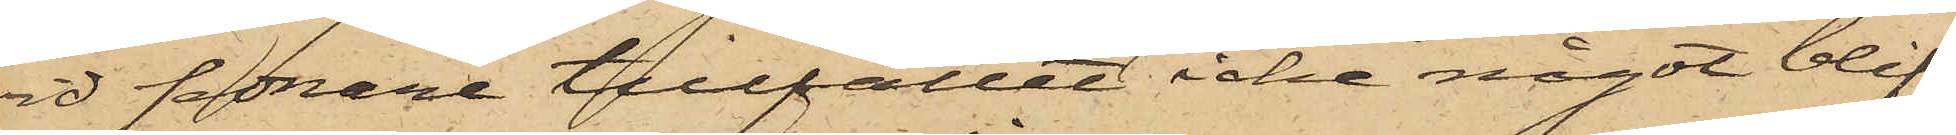vid sednare tillfället icke något blif¬
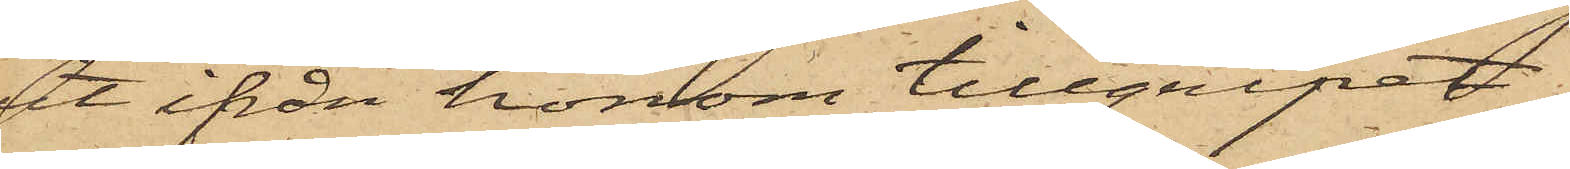at ifrån honom tillgripit
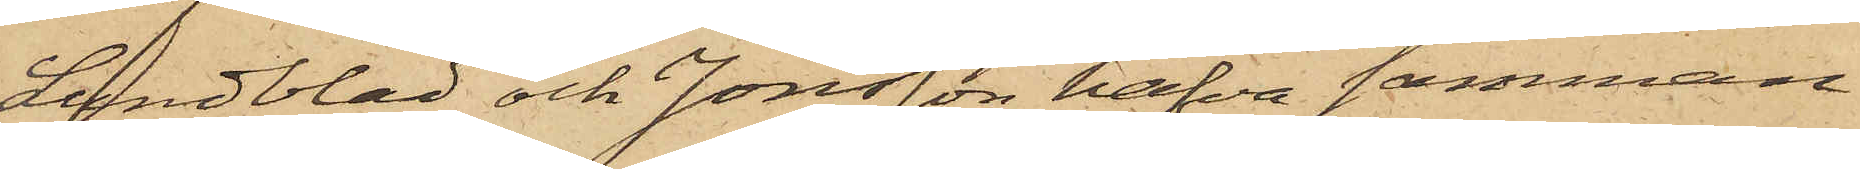Lundblad och Jonsson hafva samman¬
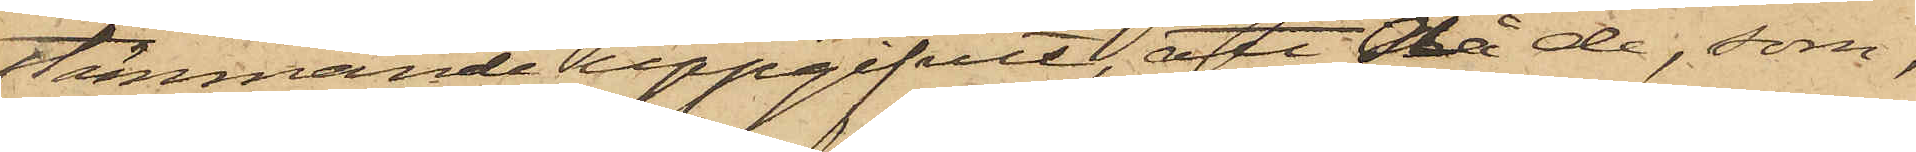stämmande uppgifvit, att då de, som,
